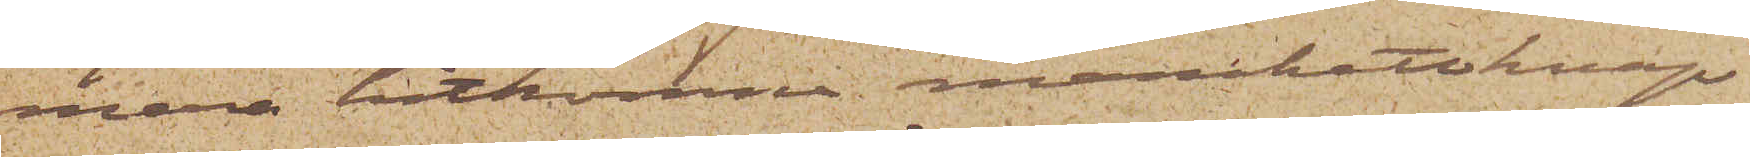mera hitkomne manchettknap¬
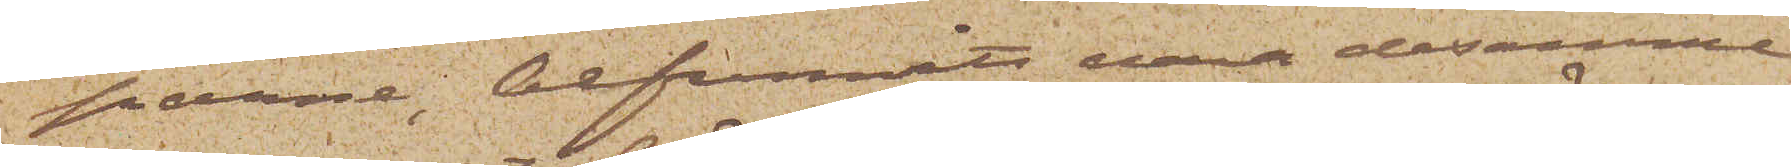parne, befunnits vara desamma
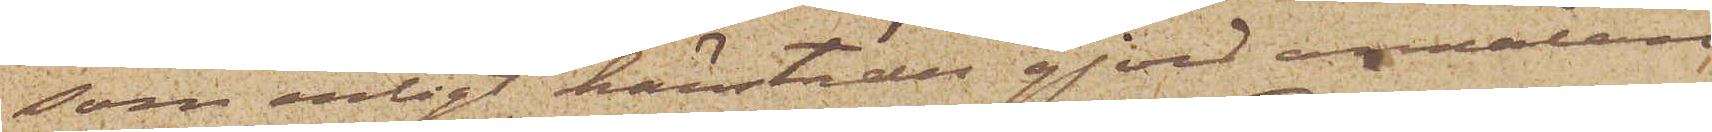som enligt härstädes gjord anmälan
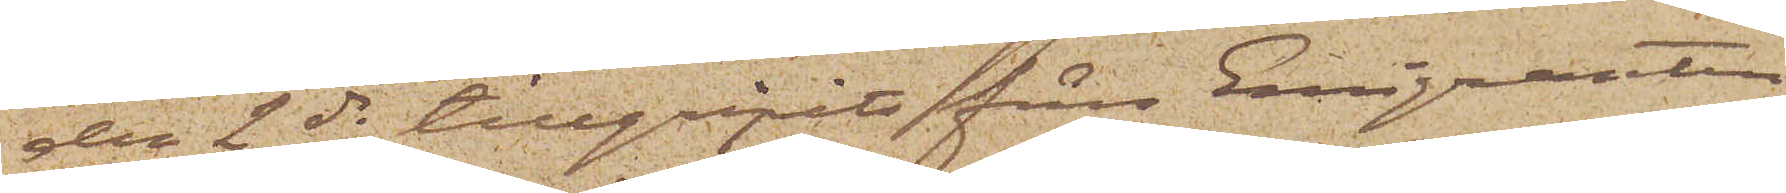den 2 ds tillgripits från Emigranten
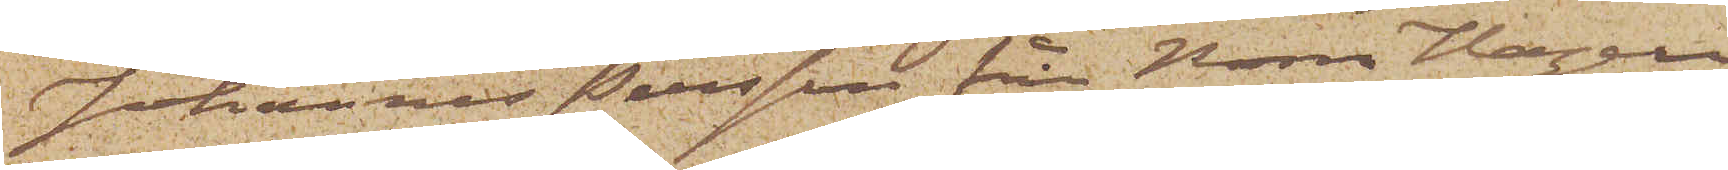Johannes Persson från Norra Hagen
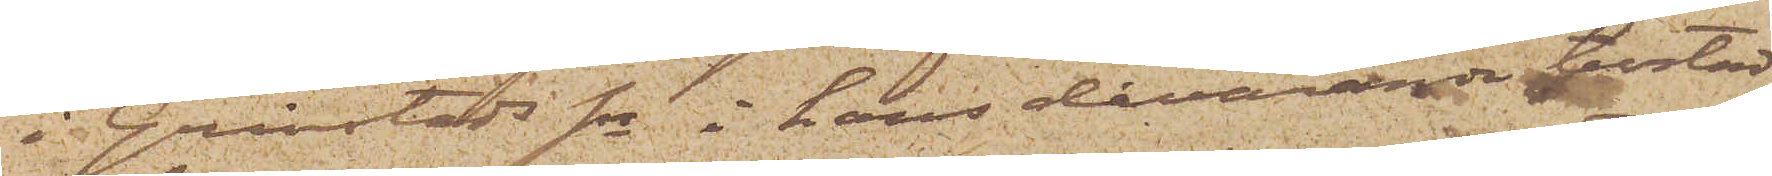i Grimstads sn i hans dåvarande bostad
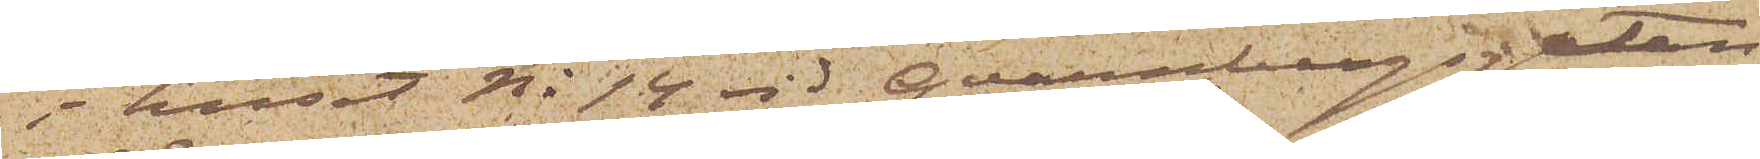i huset No 14 vid Qvarnbergsgatan
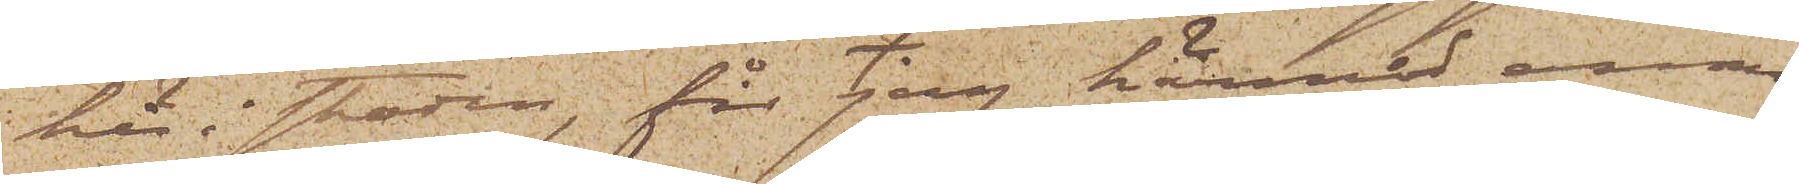här i staden, får jag härmed anmo¬
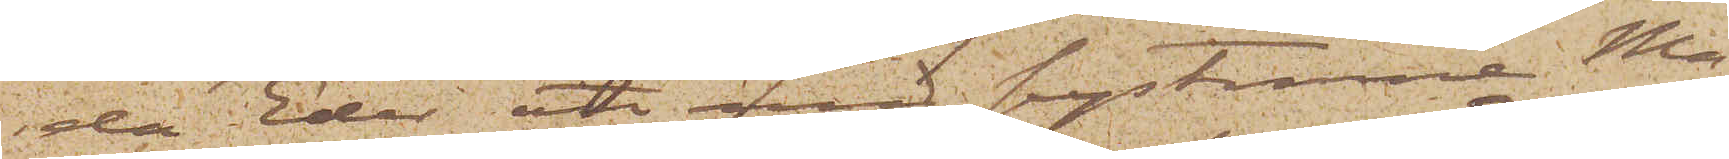da Eder att med systrarne Ma¬
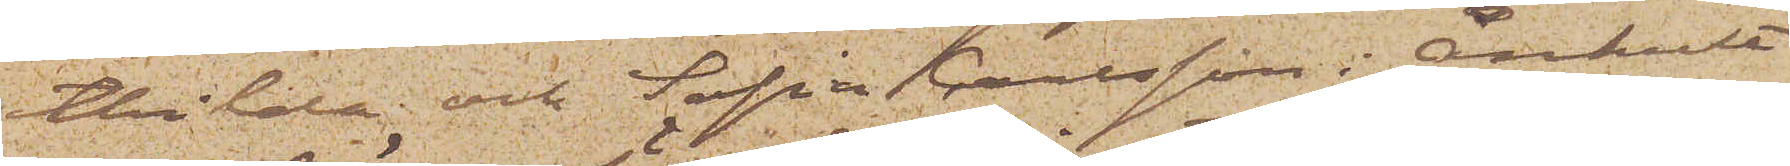thilda och Sofia Carlsson i Ånhult
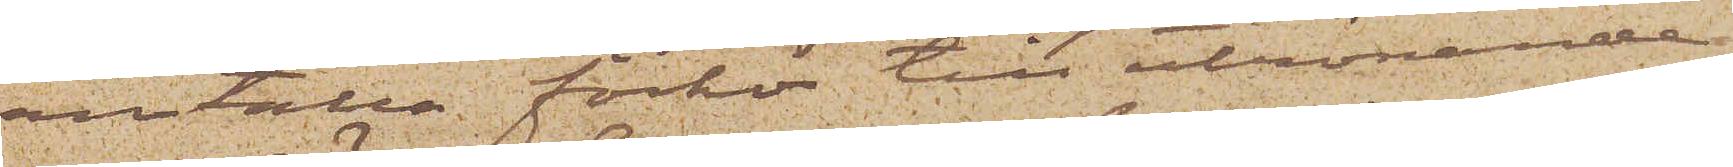anställa förhör till utrönande
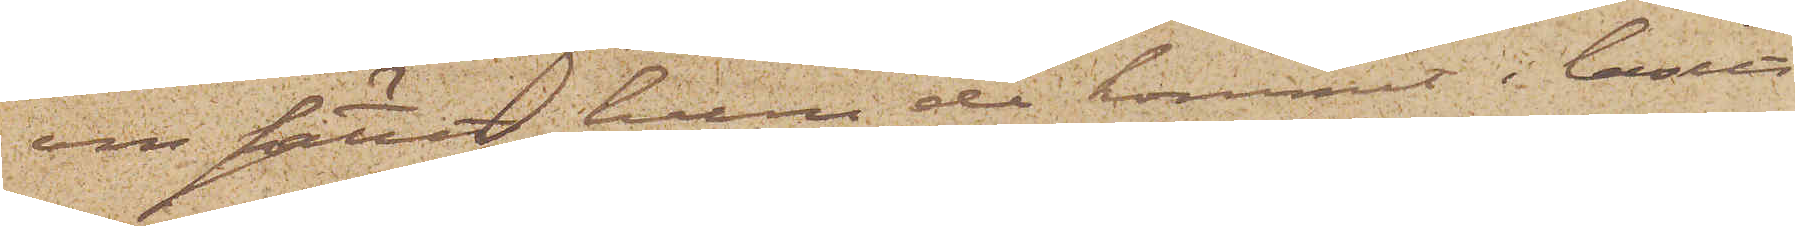om sättet huru de kommit i besitt¬
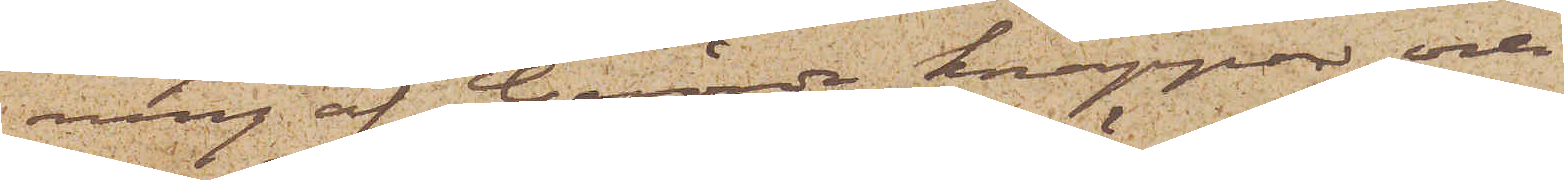ning af berörde knappar och
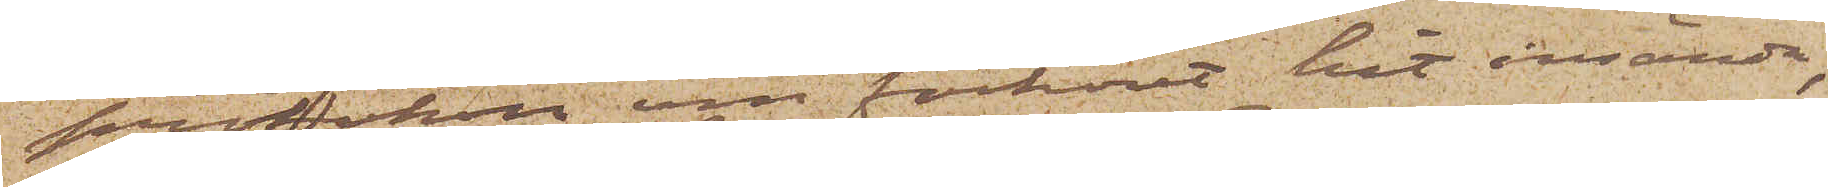protokoll om förhöret hit insända,
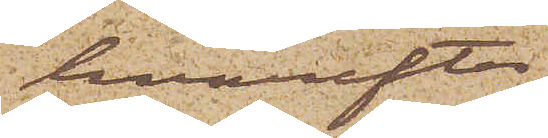hvarefter
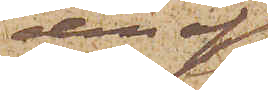den af
